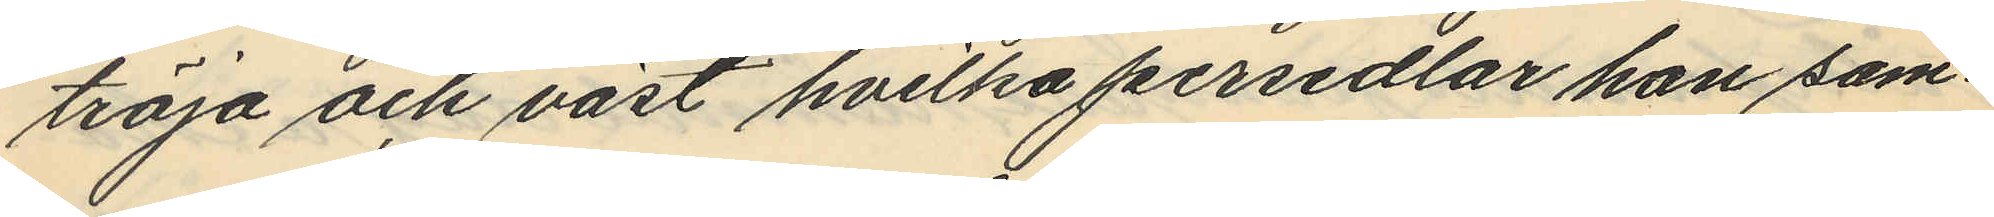tröja och väst hvilka persedlar hon sam¬
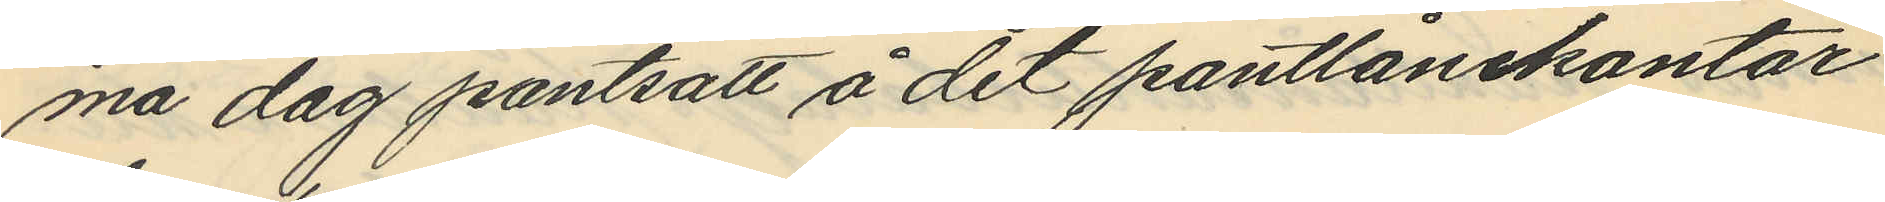ma dag pantsatt å det pantlånekontor
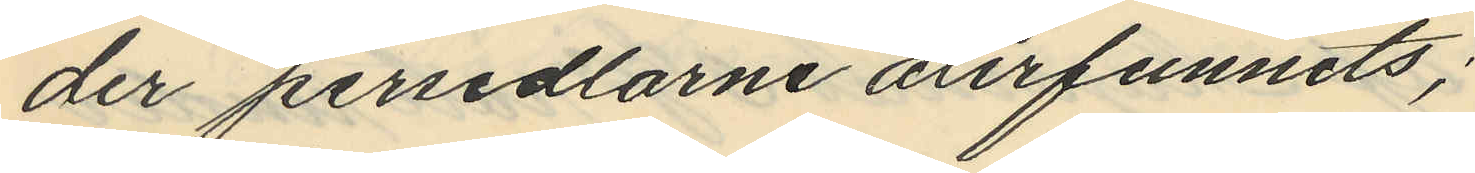der persedlarne årerfunnits;
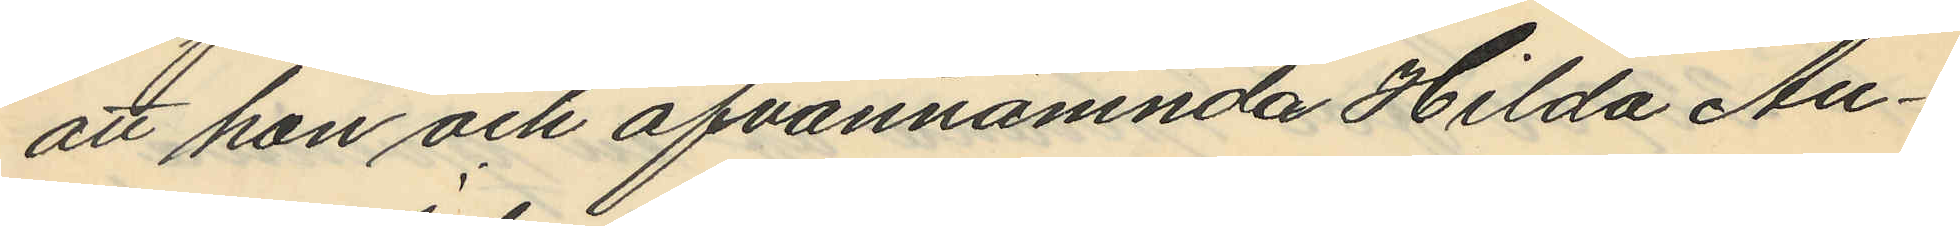att hon och ofvannämnda Hilda Au¬
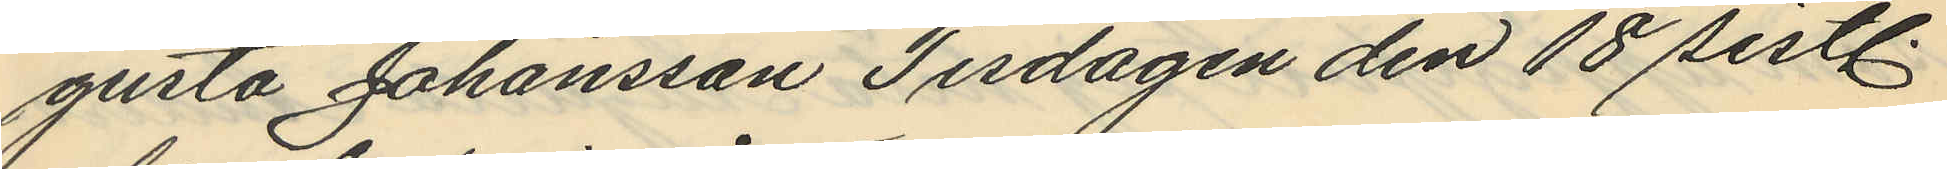gusta Johansson Tisdagen den 18 sistl.
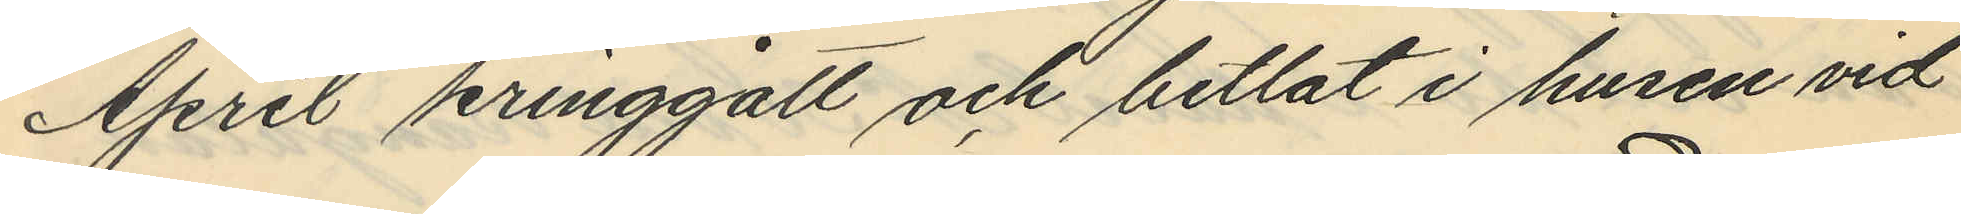April kringgått och bettlat i husen vid
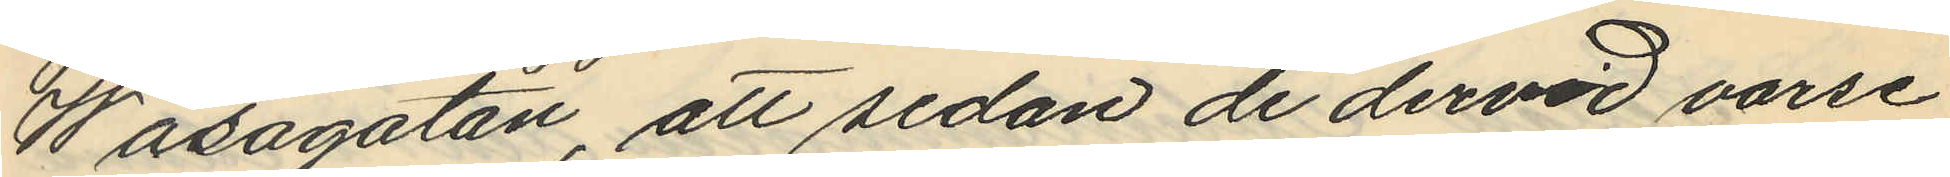Wasagatan, att sedan de dervid varse
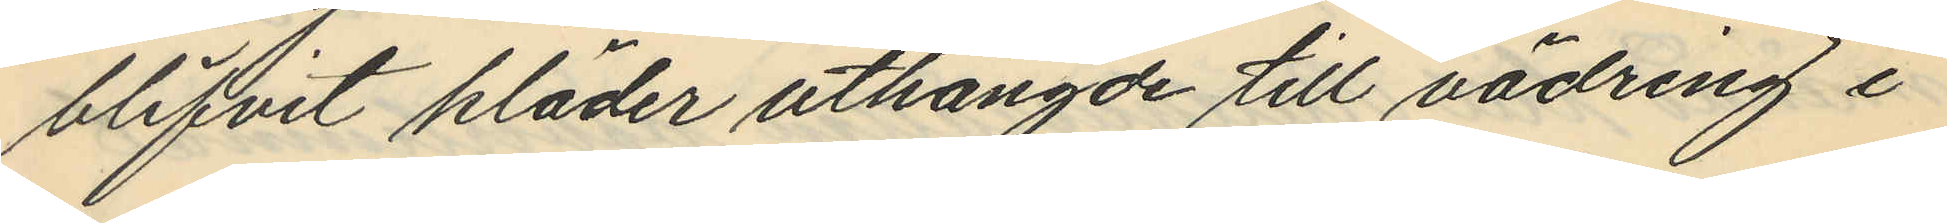blifvit kläder uthängde till vädring i
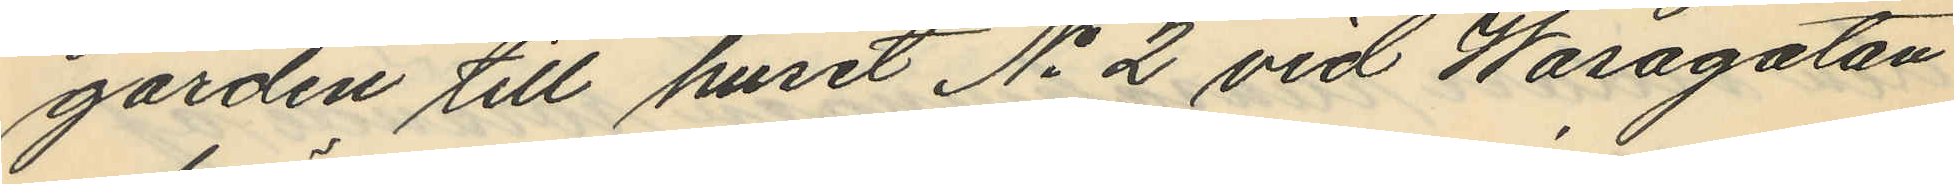gården till huset No 2 vid Wasagatan
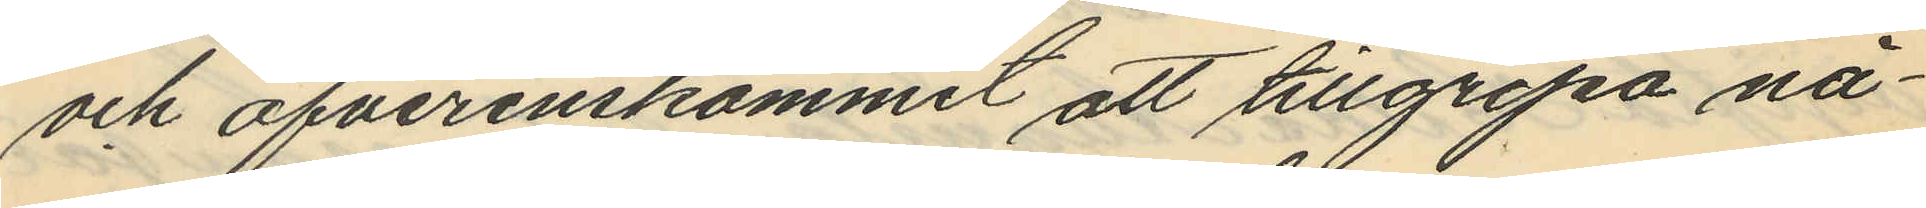och öfverenskommit att tillgripa nå¬
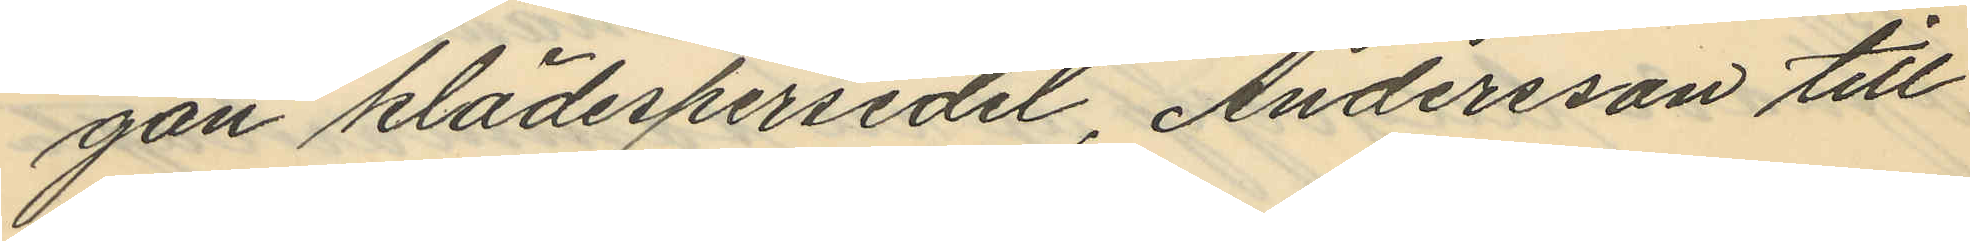gon klädespersedel, Andersson till
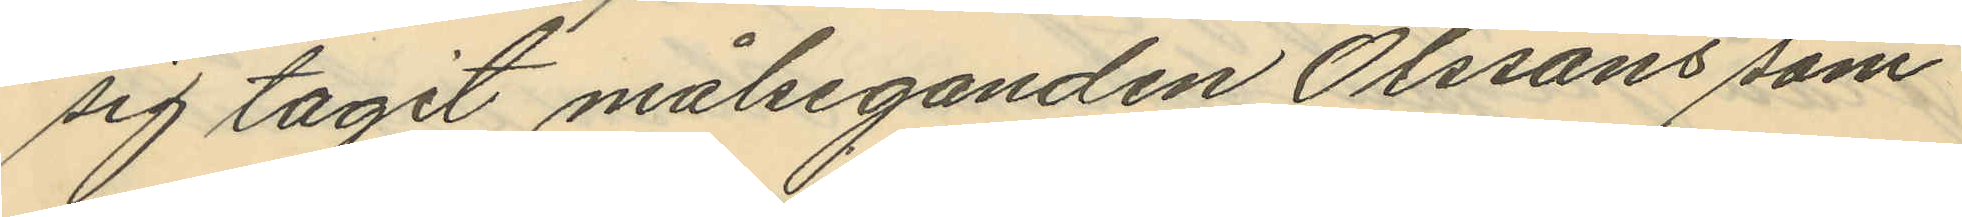sig tagit målseganden Olssons som
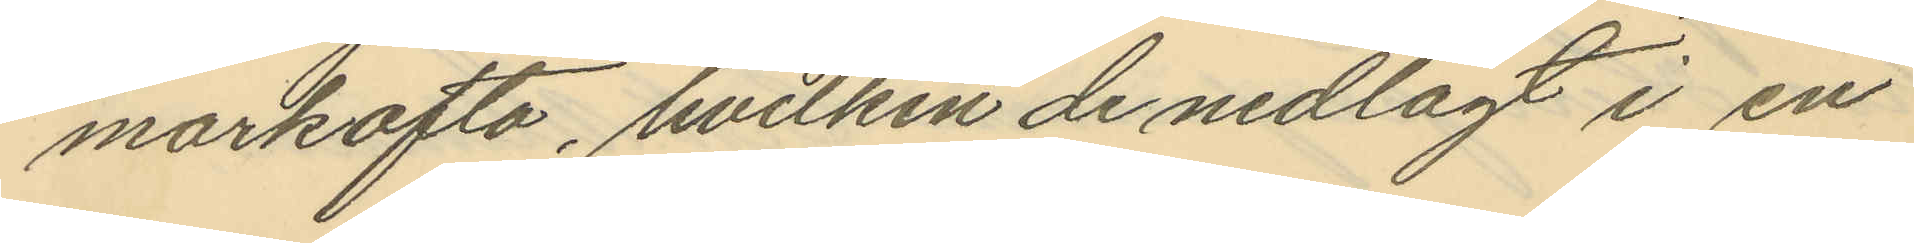markofta, hvilken de nedlagt i en
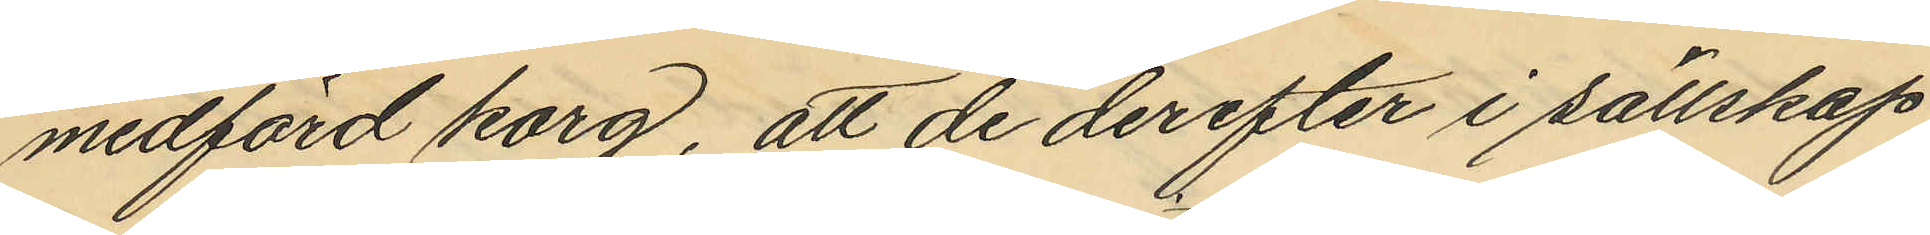medförd korg, att de derefter i sällskap
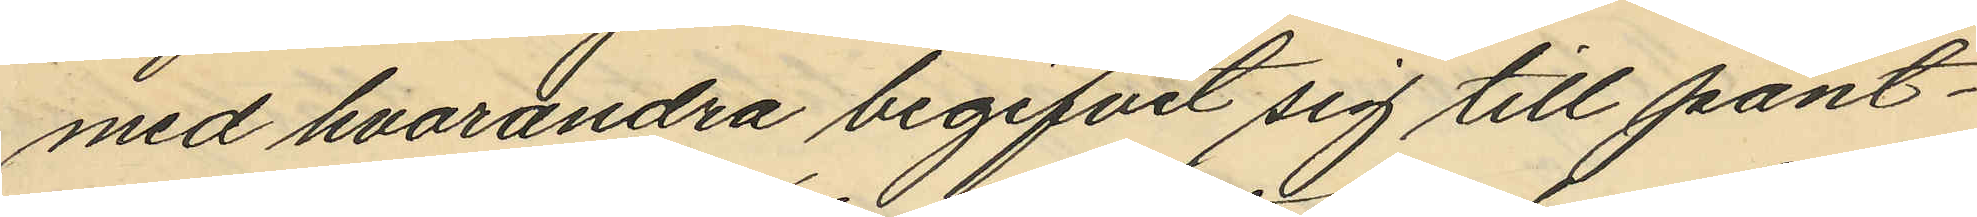med hvarandra begifvit sig till pant¬
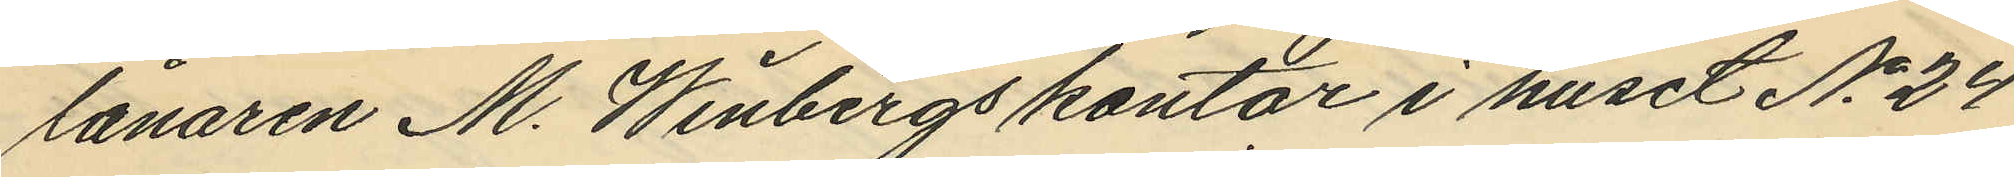lånaren M. Winbergs kontor i huset No 24
